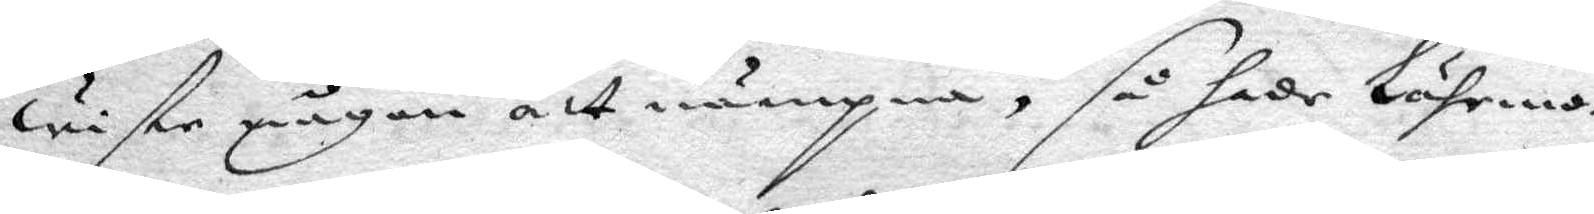wiste någon att nämpna, så hade lährmo¬
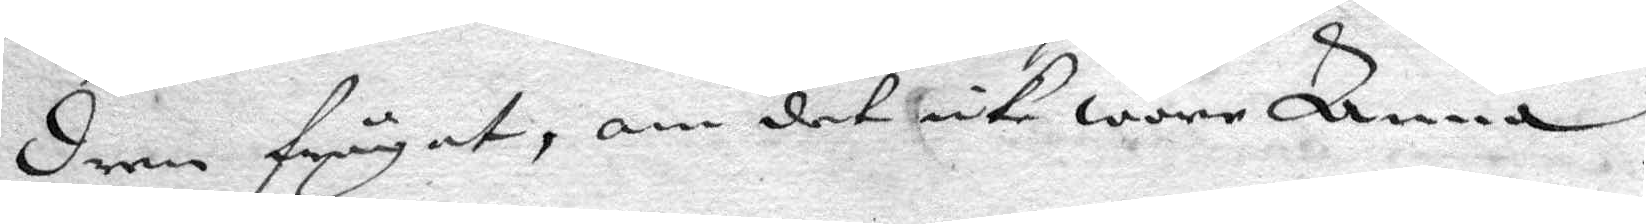dern frågadt, om det icke wore Anna
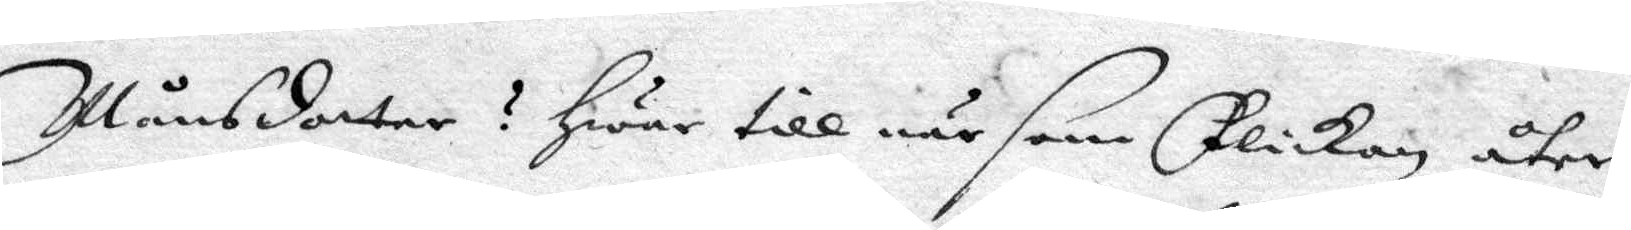Månsdotter? Hwar till när som flickan åter
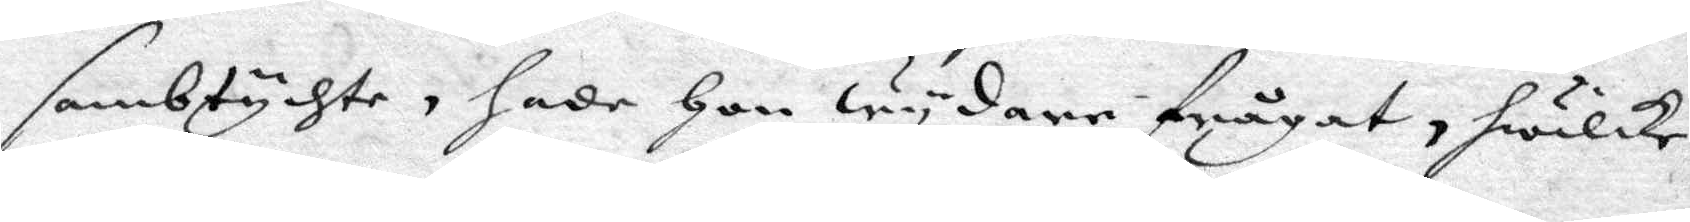sambtychte, hade Hon wydare frågat, hwilke
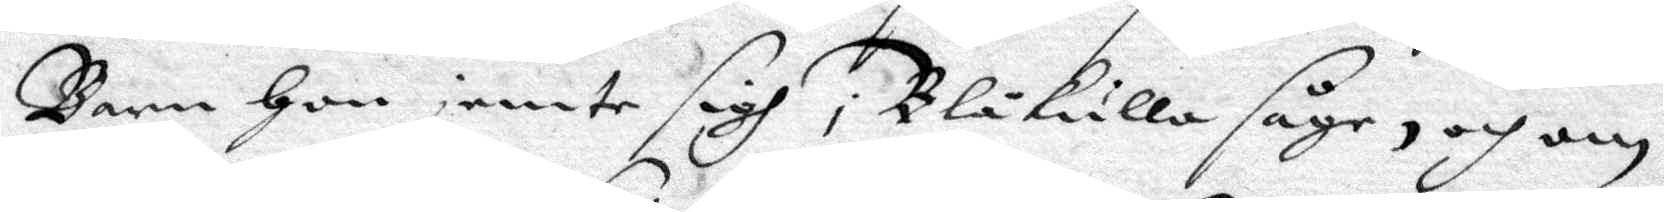Barn Hon jemte sigh i Blåkulla såge, och om
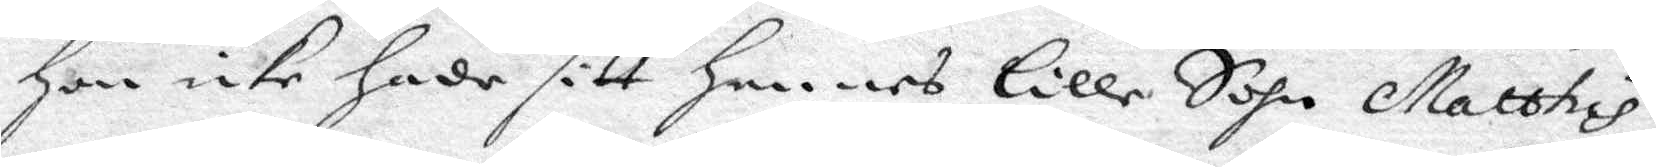Hon icke hade sitt hennes Lille Sohn Matthias
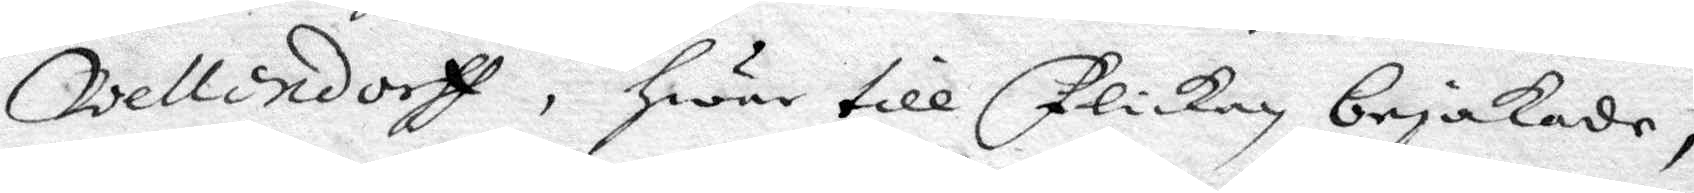Wellendorp, Hwar till flickan bejakade,
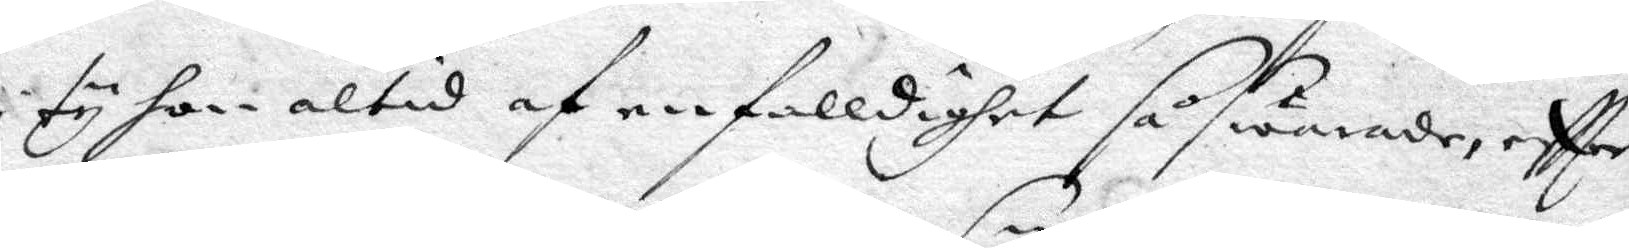i ty hon altid af enfalldighet så swarade, eftter
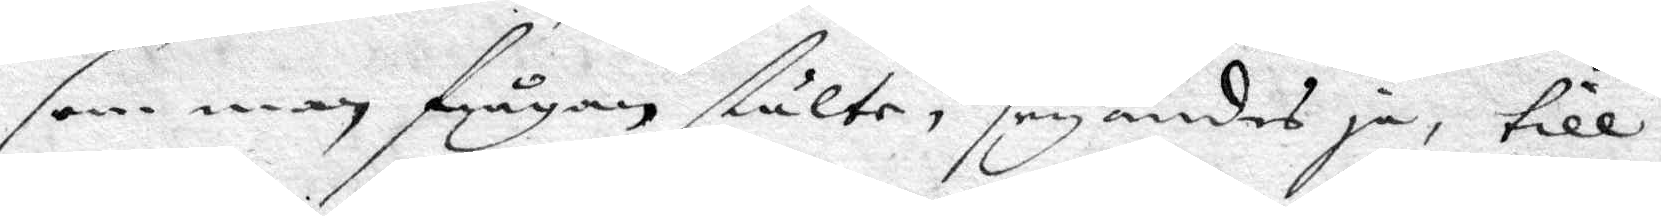som man frågan stälte, seyandes ja, till
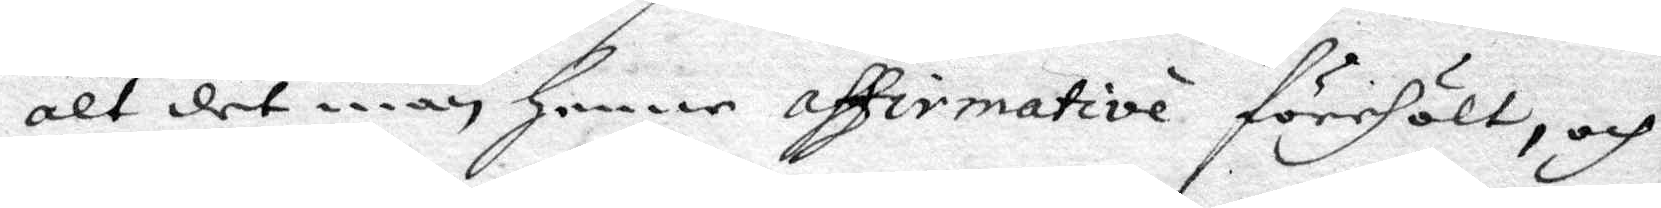alt det man Henne affermative förehölt, och
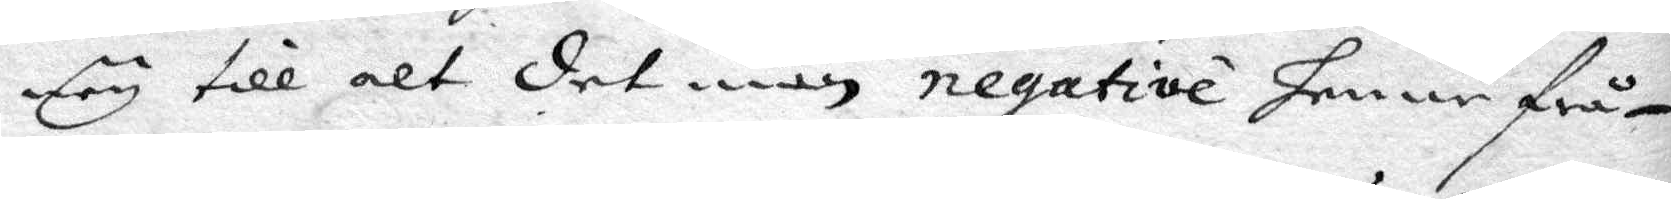ney till alt det man negative henne frå¬
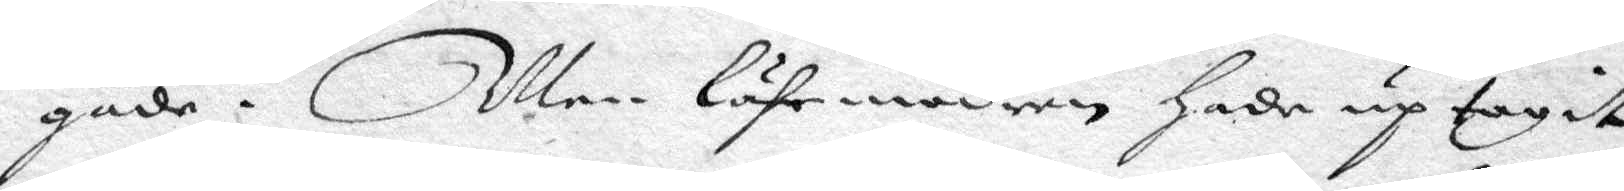gade. Men lährmodern hade uptagit
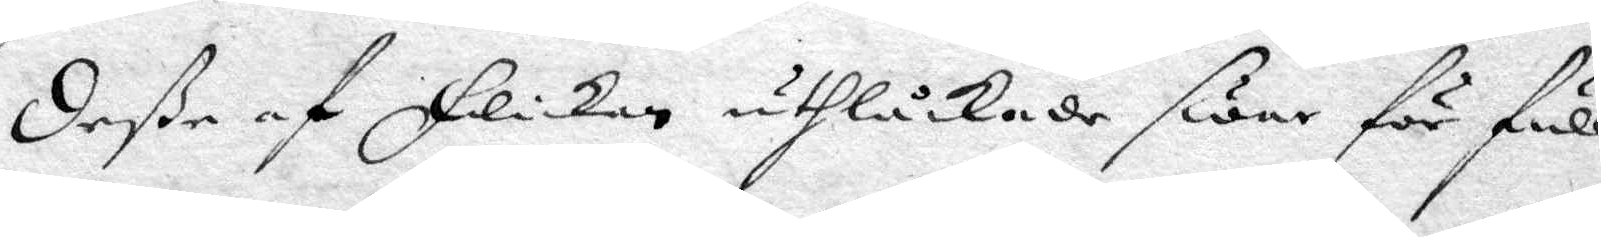deße af Flickan uthlåckade swar för full
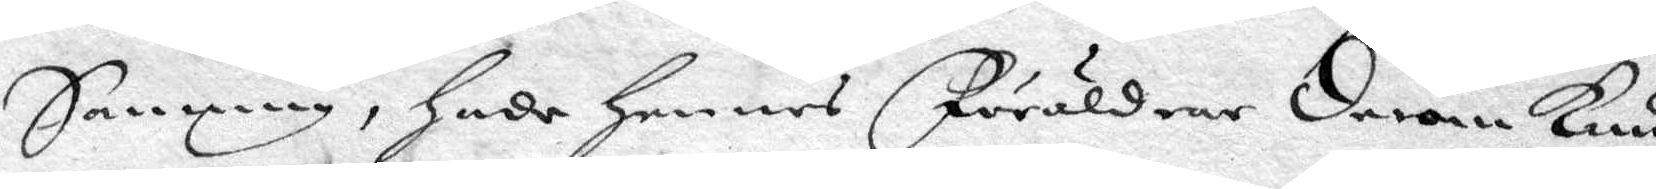Sanning, hade hennes Föräldrar derom kun¬
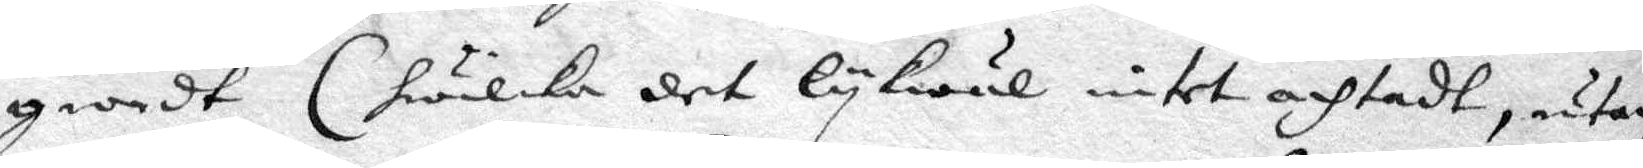giordt (hwilka det lykwl intet achtadt, utan
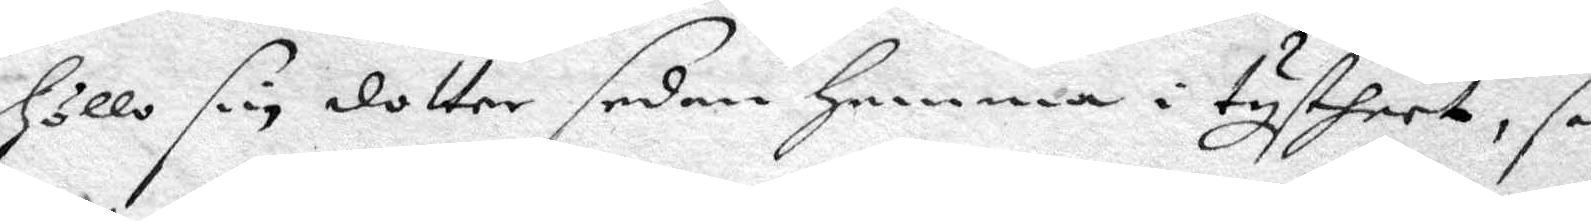höllo sin dotter sedan hemma i tysheet, så
